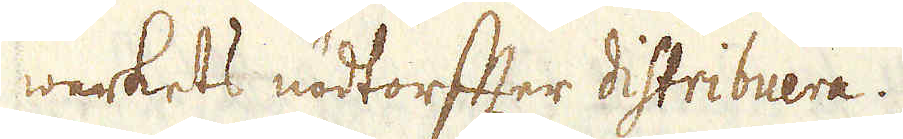werkets nödtorffter distribuera.
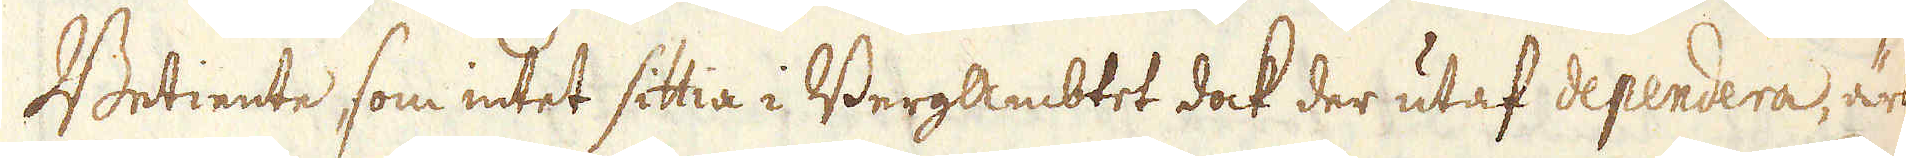Betiente som intet sittia i BergAmbtet dock der utaf dependera, är
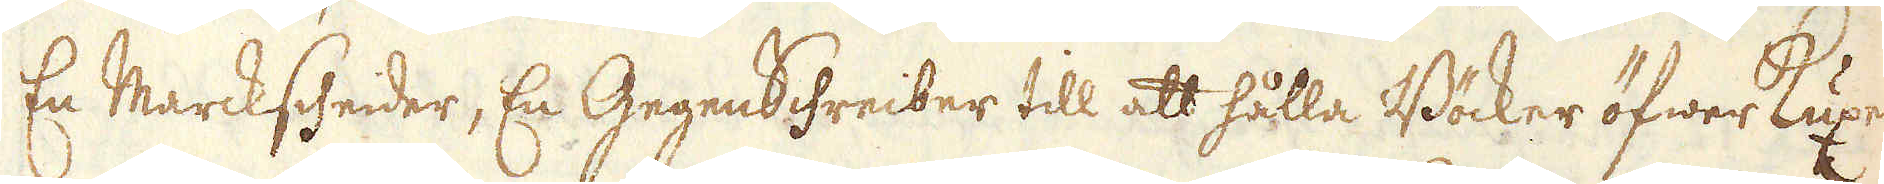En Marcksheider, En GegenSchreiber till att hålla Böcker öfwer Kuxer-
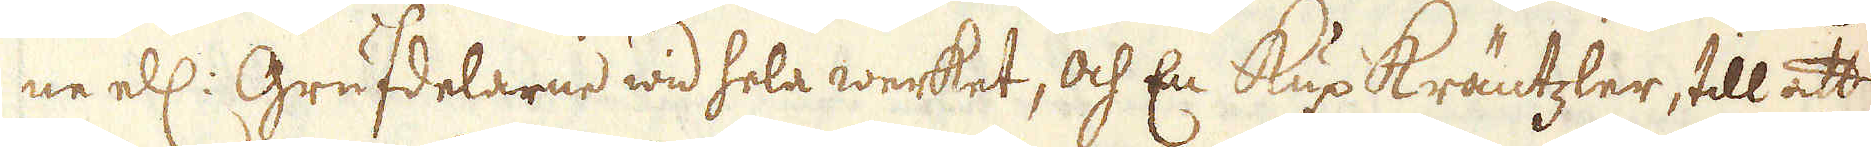ne ell: Grufdelarne wid hela werket, och En Kux Kräntzler, till att
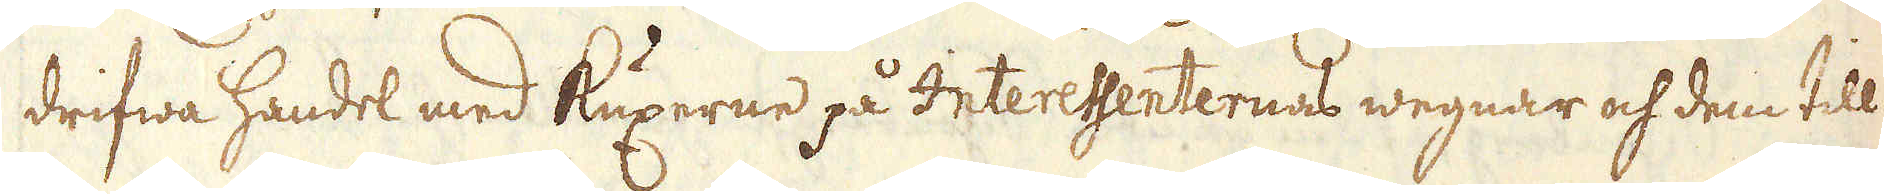drifwa handel med kuxerne på Interessenternas wegnar och dem till
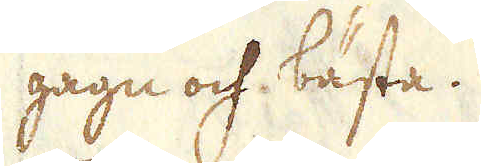gagn och bästa.
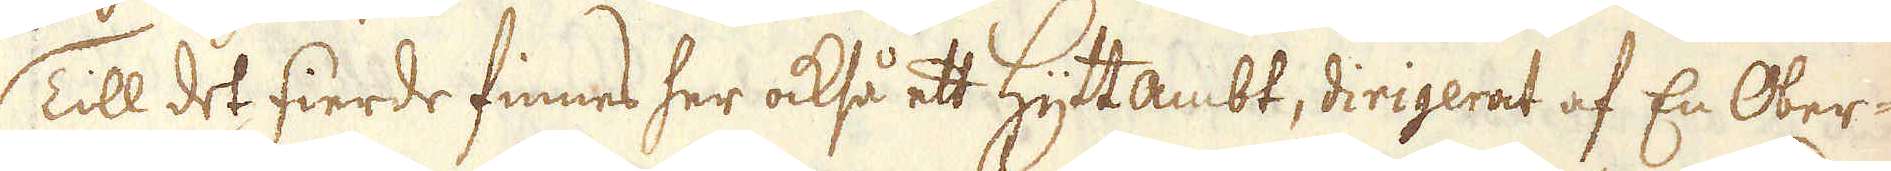Till det fierde finnes her också ett Hytt Ambt, dirigerat af En Ober-
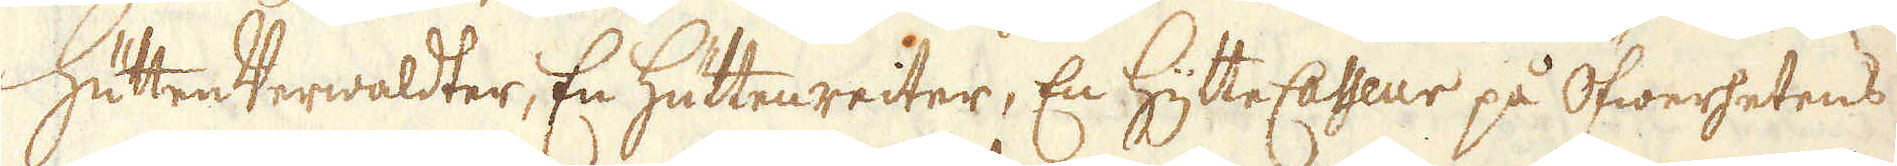Hütten Verwaldter, En Hüttenreiter, En HytteCasseur på Öfwerhetens
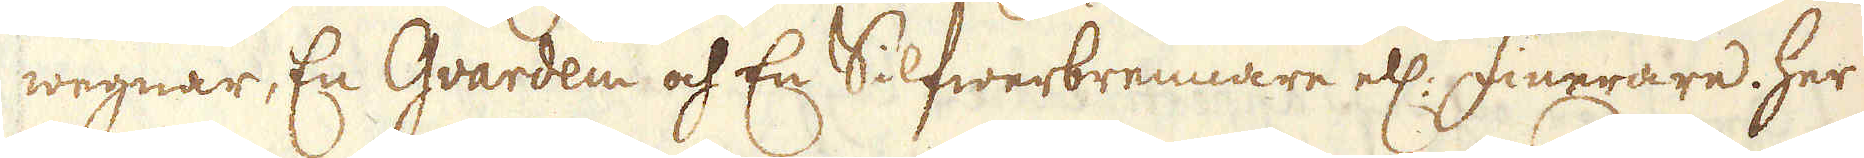wegnar, En Gvardein och En Silfwerbrennare ell: Finerare. Her
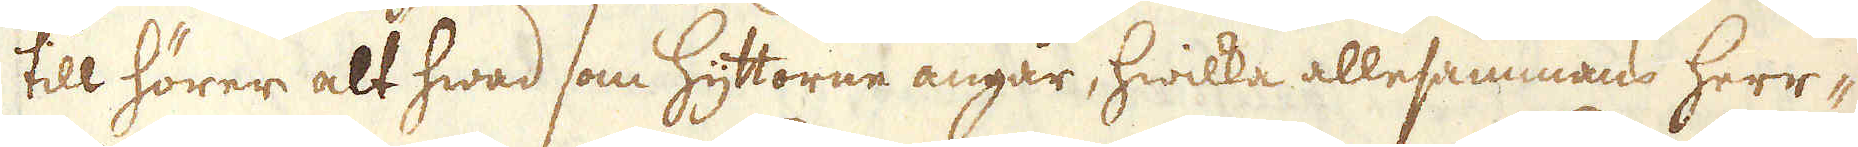till hörer alt hwad som hyttorne angår, hwilka allesammans herr-
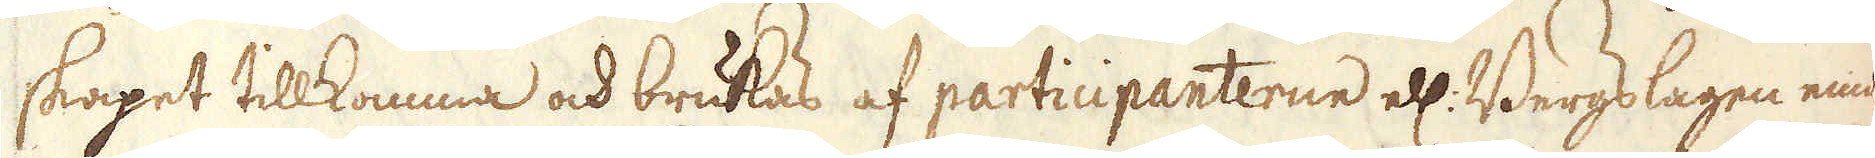skapet tillkomma och brukas af participanterne ell: Bergslagen emot
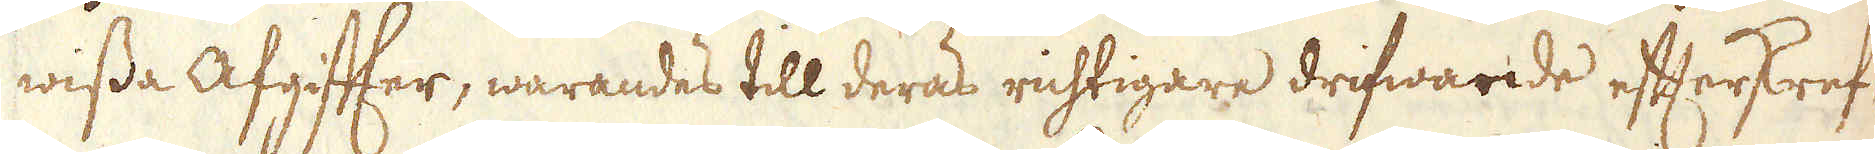wissa Afgiffter, warandes till deras richtigare drifwande efterskref-
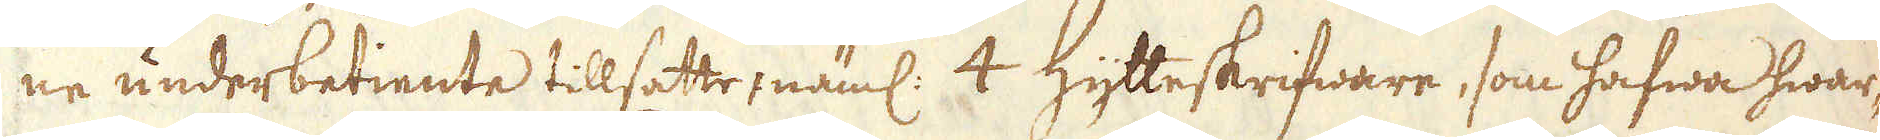ne underbetiente tillsatte, näml: 4 Hytteskrifware, som hafwa hwar-
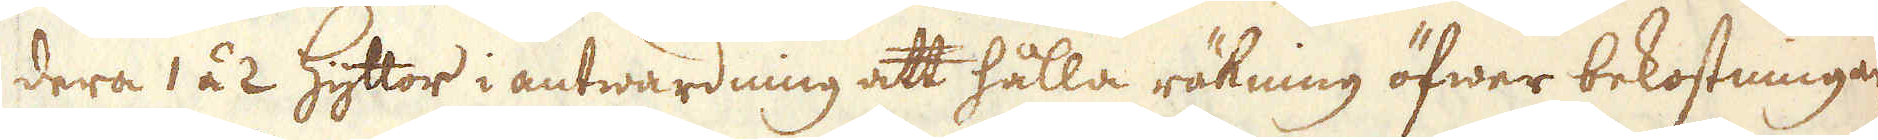dera 1 á 2 Hyttor i antwardning att hålla räkning öfwer bekostningar-
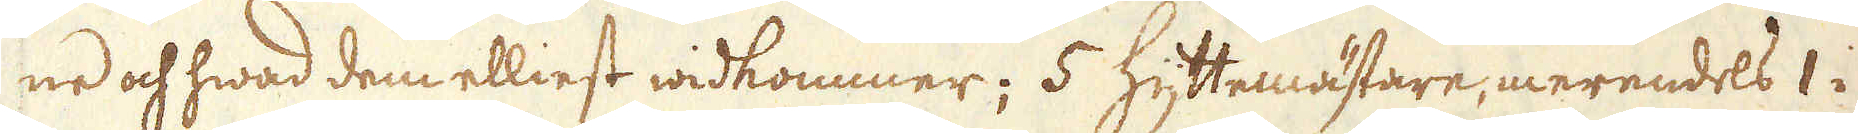ne och hwad dem elliest widkommer; 5 Hyttemästare, merendels 1 i
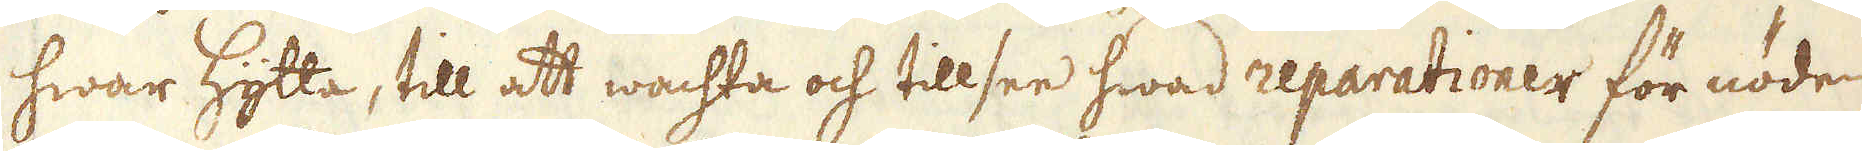hwar Hytta, till att wachta och tillsee hwad reparationer för nöden
